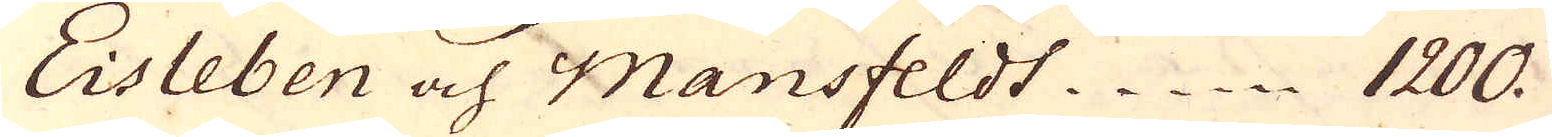Eisleben och Mansfeldt 1200.
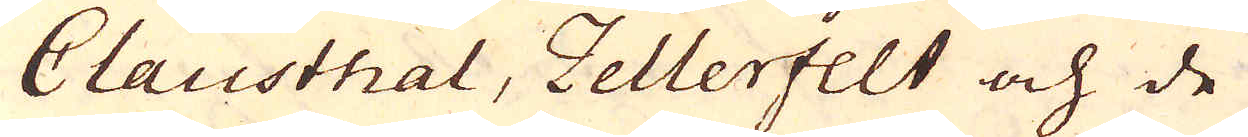Clausthal, Zellerfelt och de
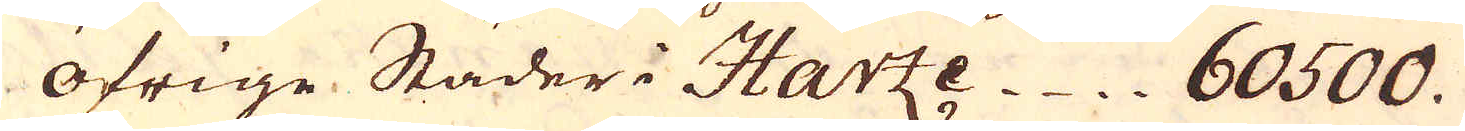öfrige Städer i Harze 60500.
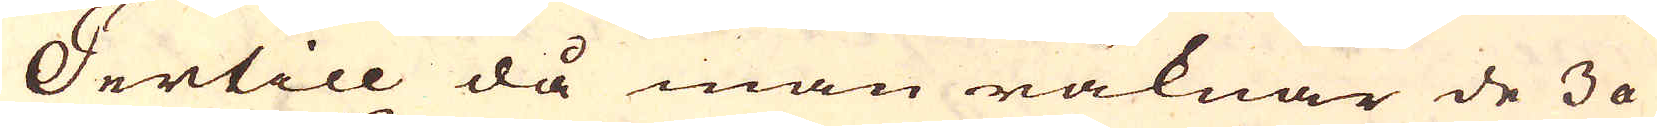Dertill då man räknar de 3 a
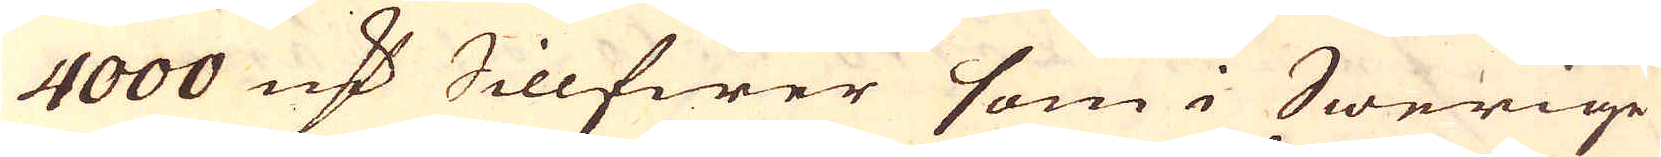4000 marker Sillfwer som i Swerige
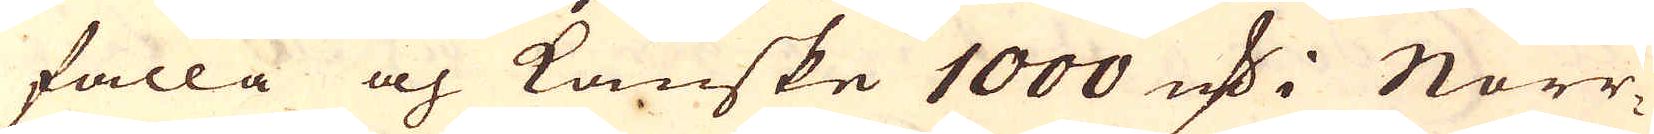falla och kanske 1000 marker Norr-
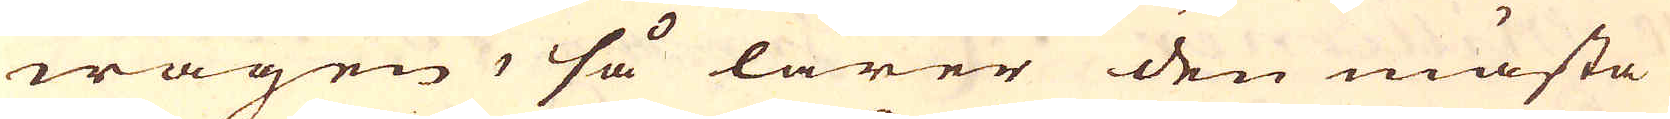wägen, så lärer den mästa
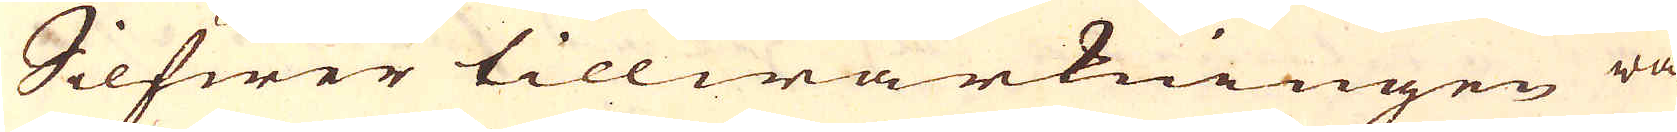Silfwer tillwärkningen va-
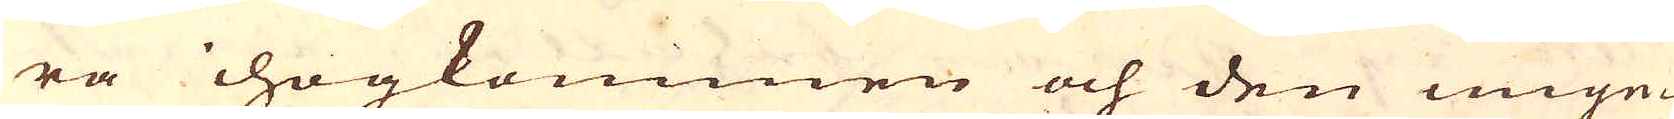ra ihogkommen och den unge-
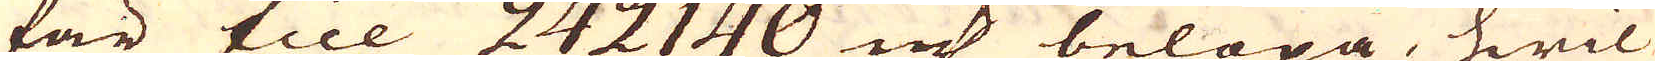för till 242140 marker belöpa, hwil-
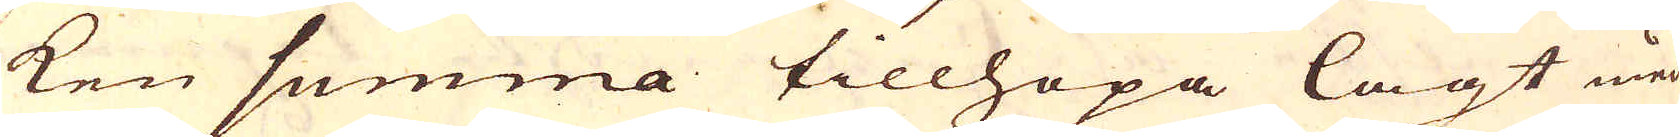ken summa tillhopa lagt med
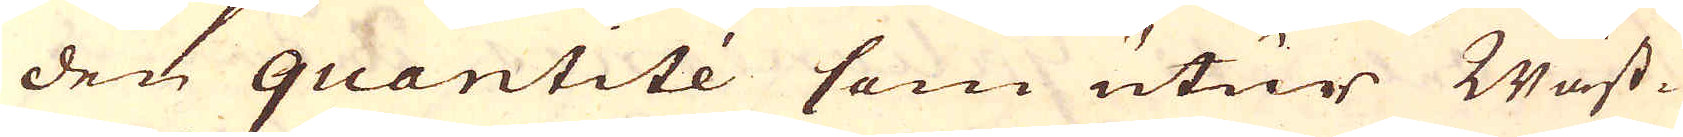den quantité som utur Wäst-
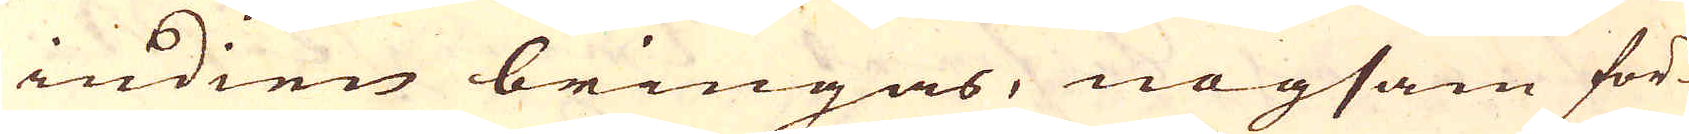indien bringas, nogsam för-
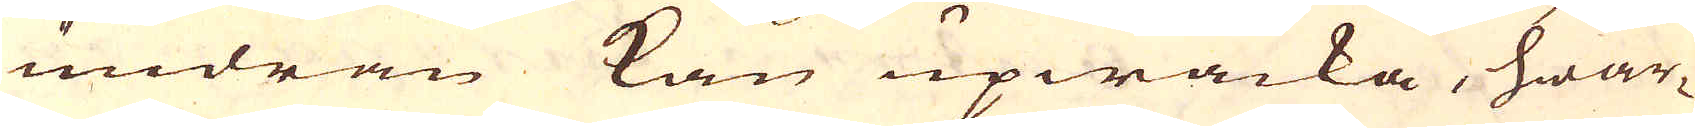undran kan upwäcka, hwar-
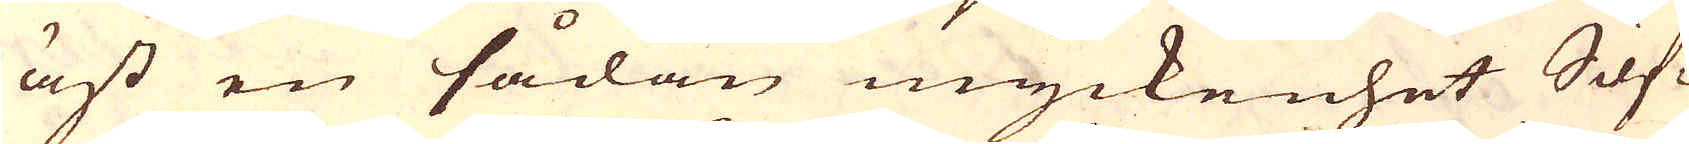äst en sådan myckenhet Sif-
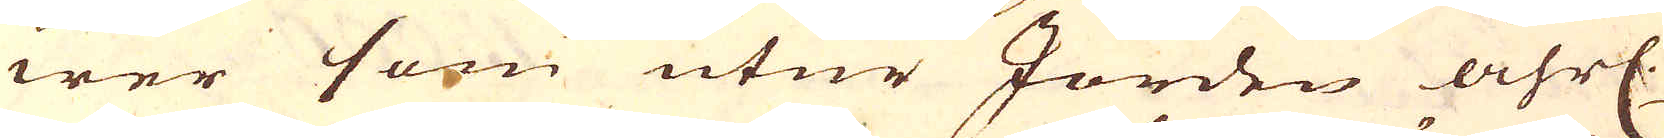wer som utur Jorden åhrl.
